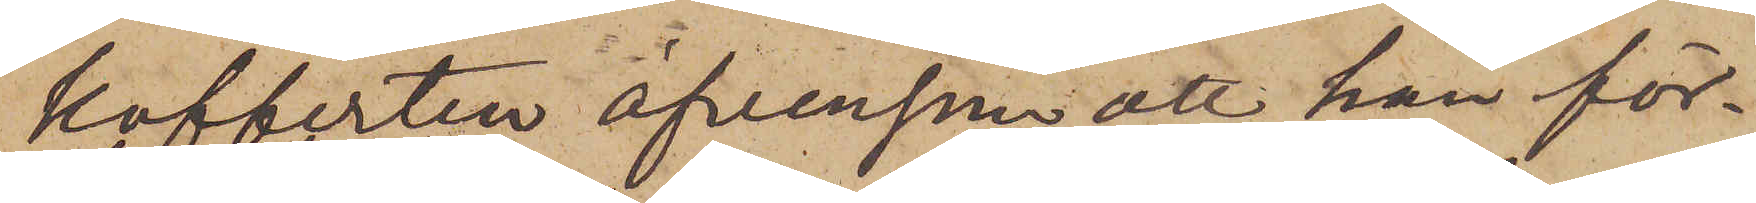kofferten äfvensom att han för¬
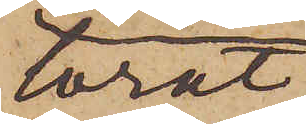lorat
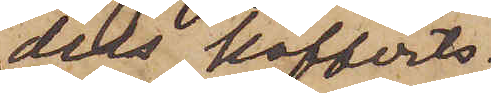dels kofferts¬
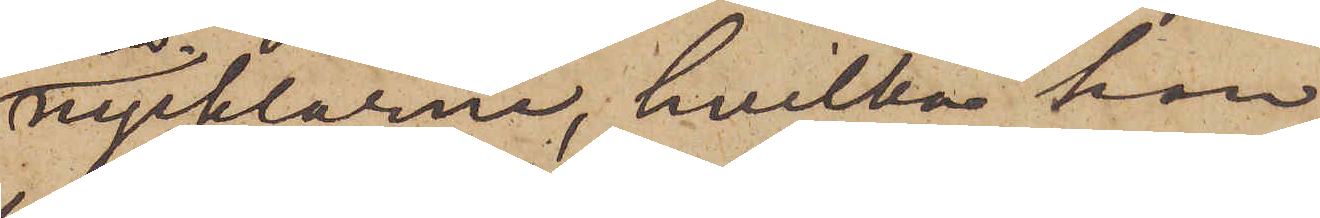nycklarne, hvilka han
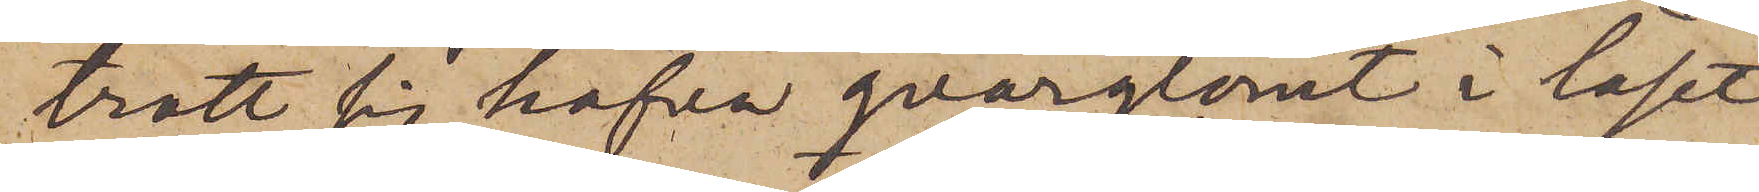trott sig hafva qvarglömt i låset
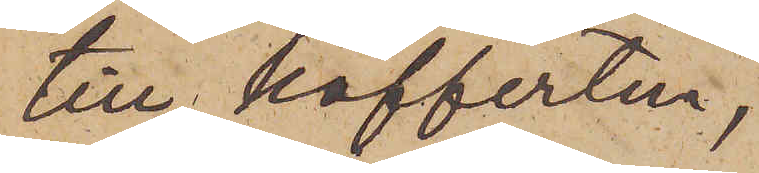till kofferten,
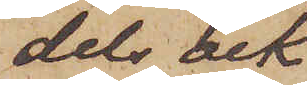dels ock
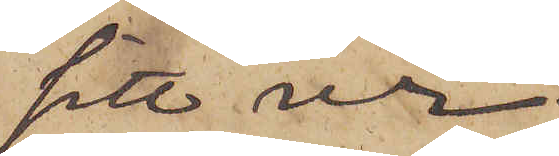sitt ur;
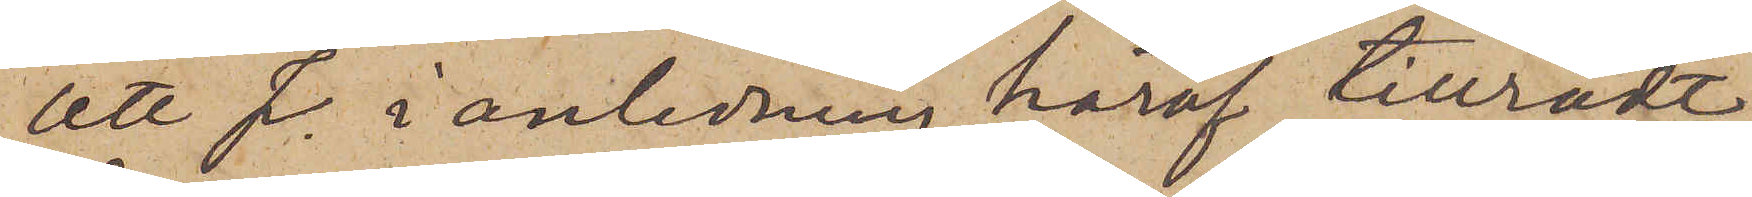att J. i anledning häraf tillrådt
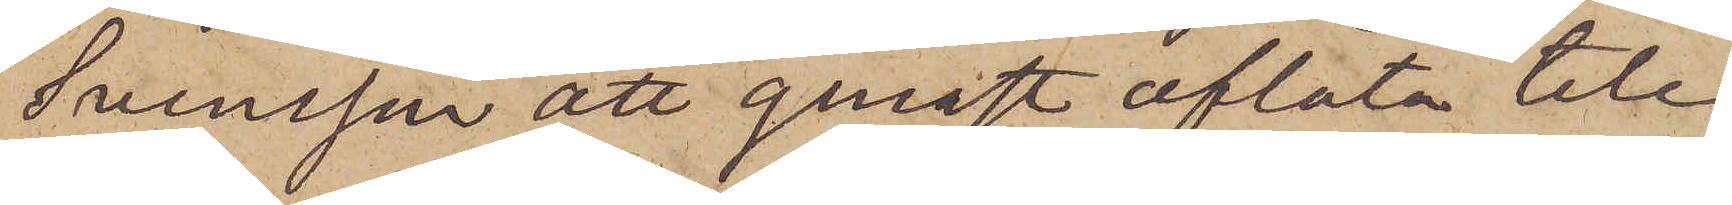Svensson att genast aflåta tele¬
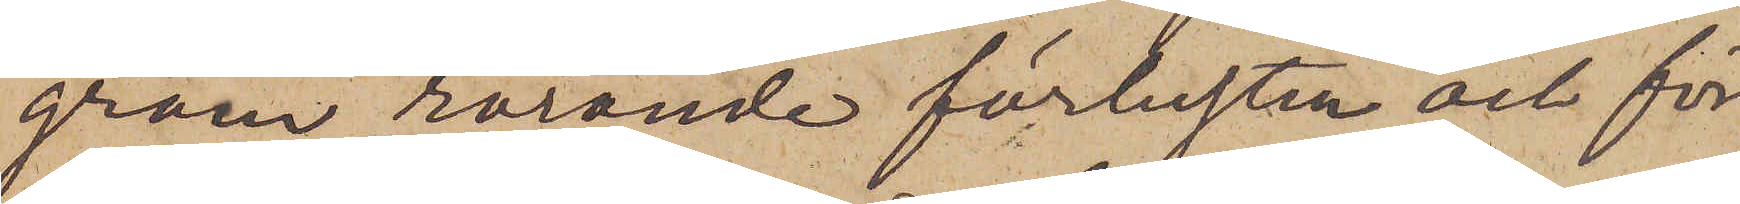gram rörande förlusten och för
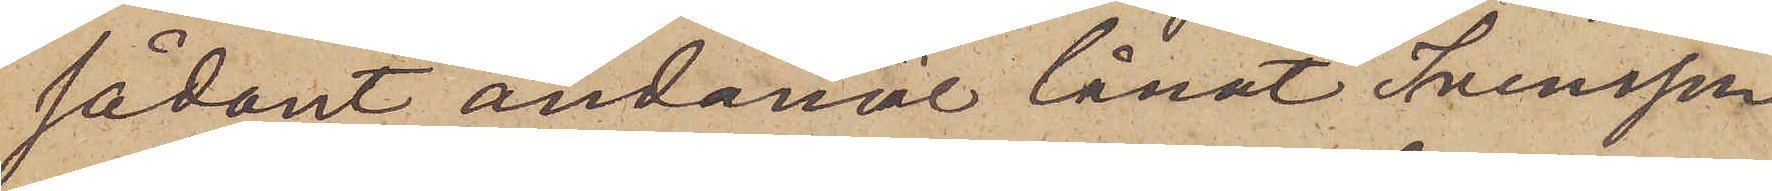sådant ändamål lånat Svensson
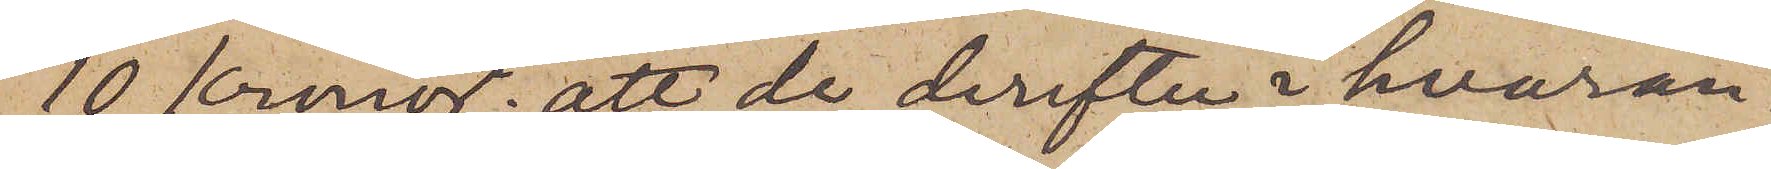10 Kronor; att de derefter i hvaran¬
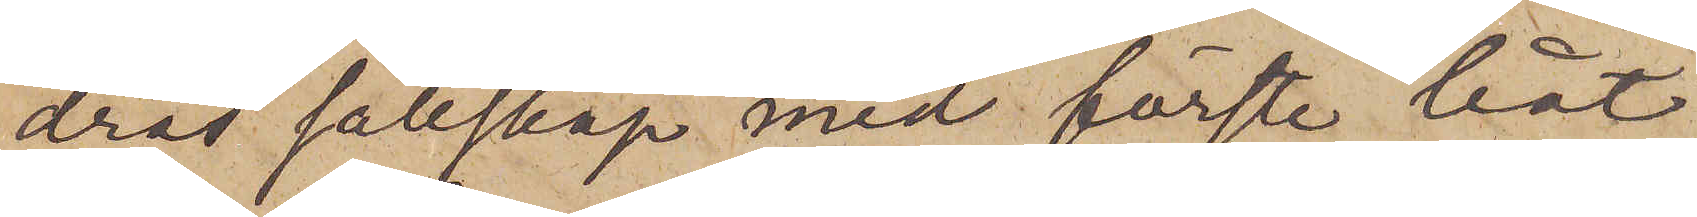dras sällskap med första båt,
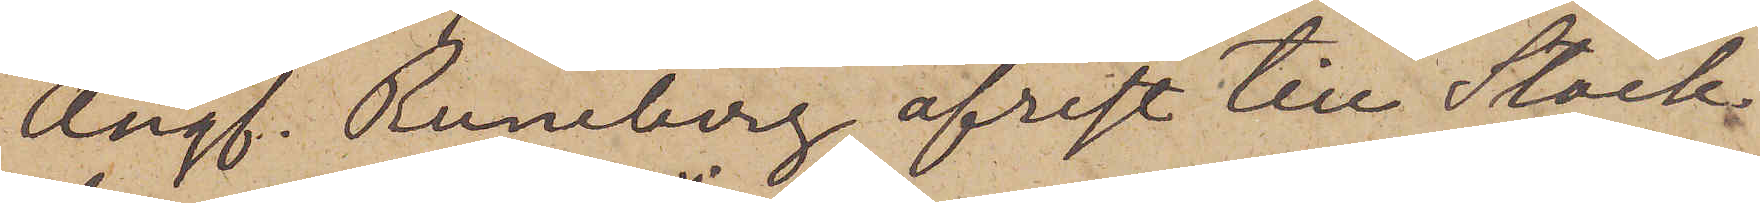Ångf. Runeberg, afrest till Stock¬
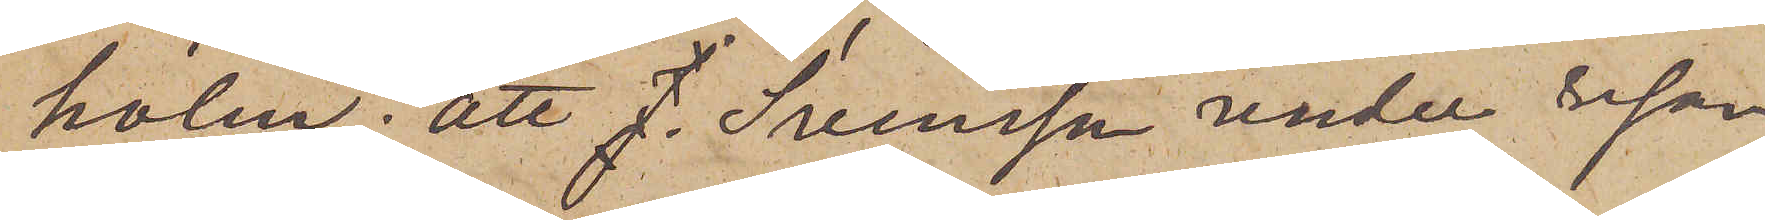holm; att Svensson under resan
